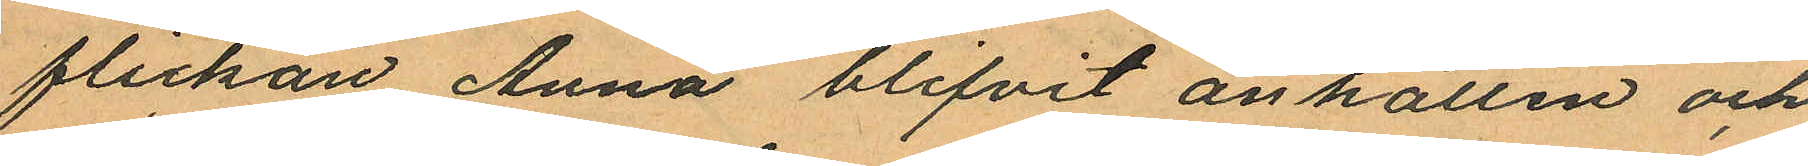flickan Anna blifvit anhållen och
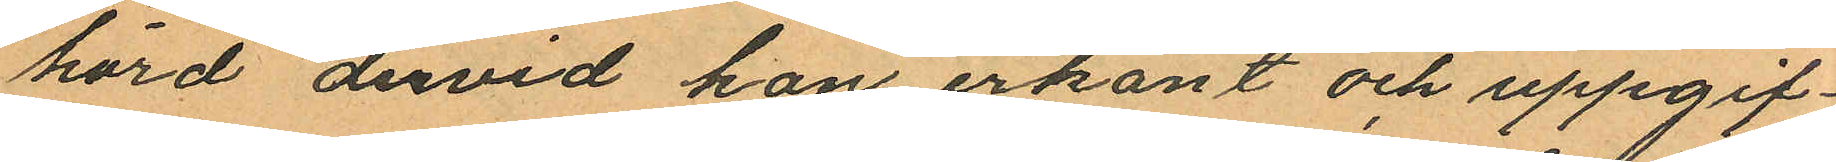hörd dervid hon erkänt och uppgif¬
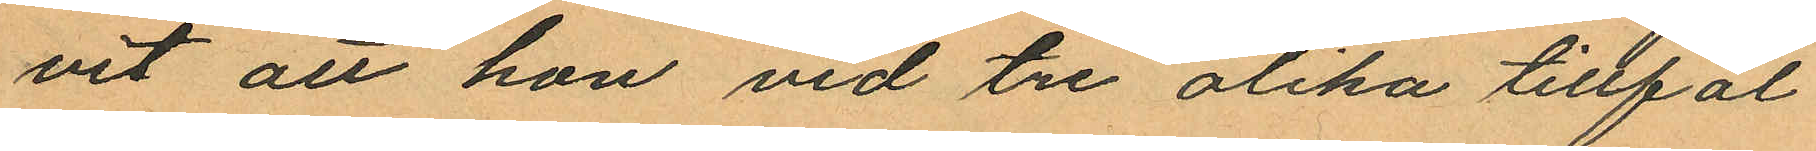vit att hon vid tre olika tillfäl¬
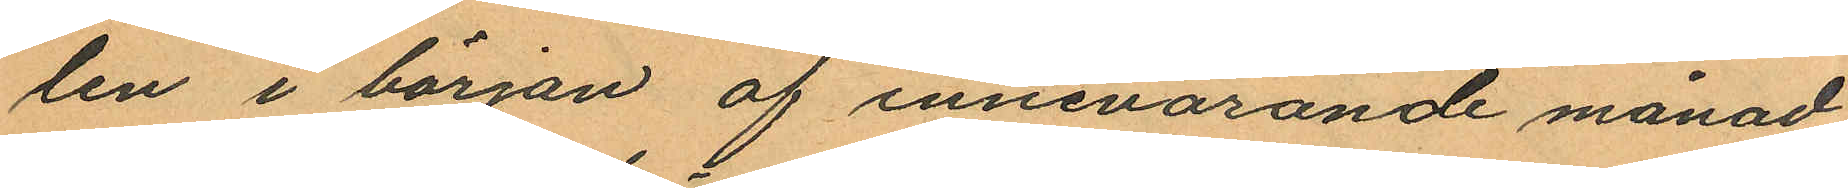len i början af innevarande månad
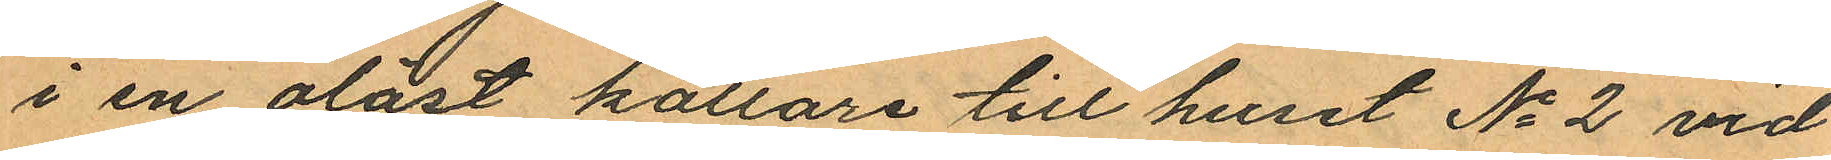i en olåst källare till huset No 2 vid
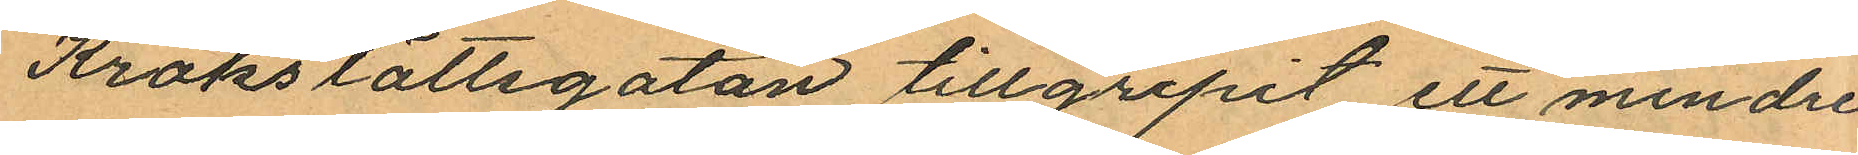Krokslättsgatan tillgripit ett mindre
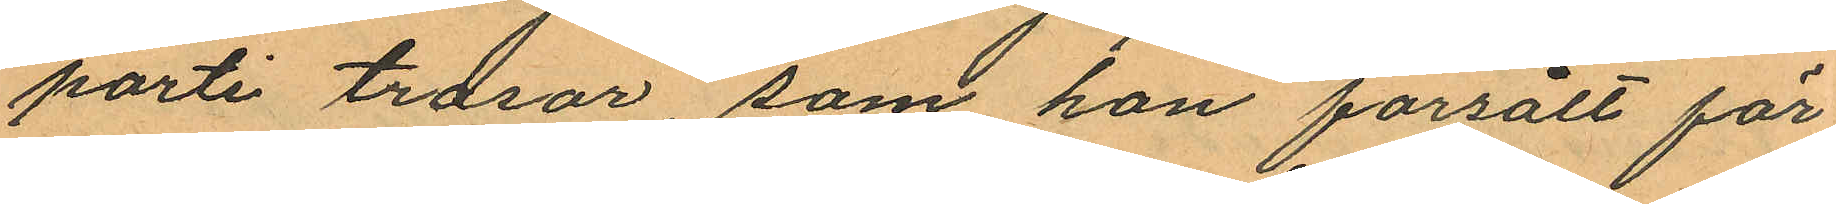parti trasor, som han försålt för
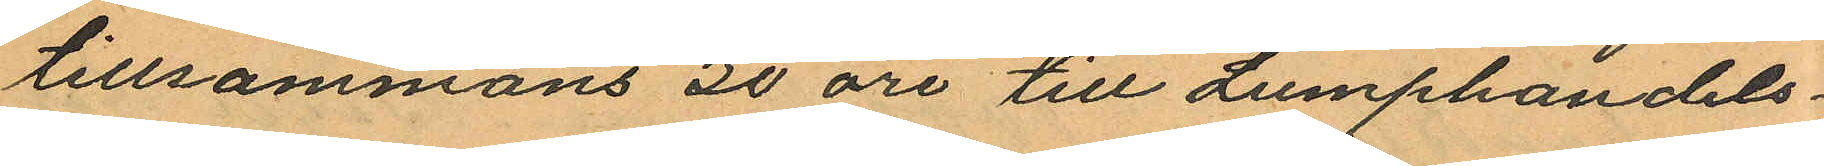tillsammans 30 öre till Lumphandels¬
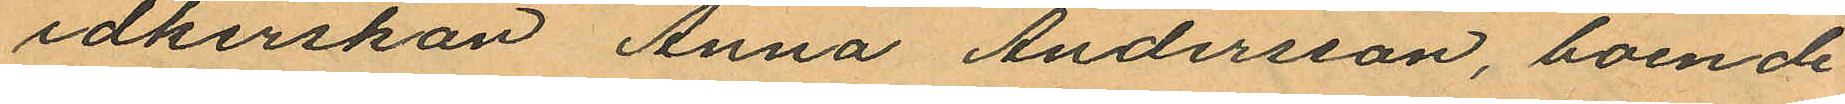idkerskan Anna Andersson, boende
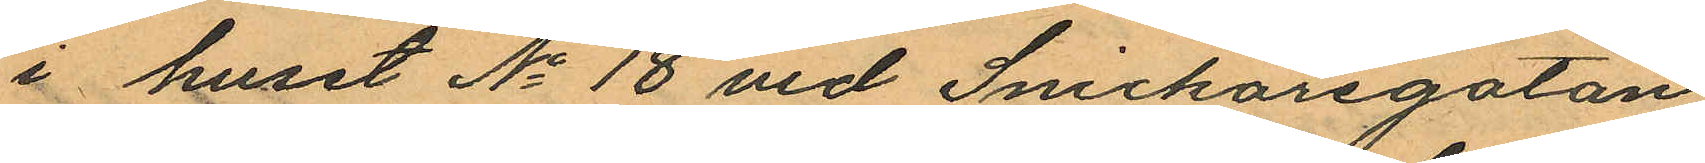i huset No 18 vid Snickaregatan
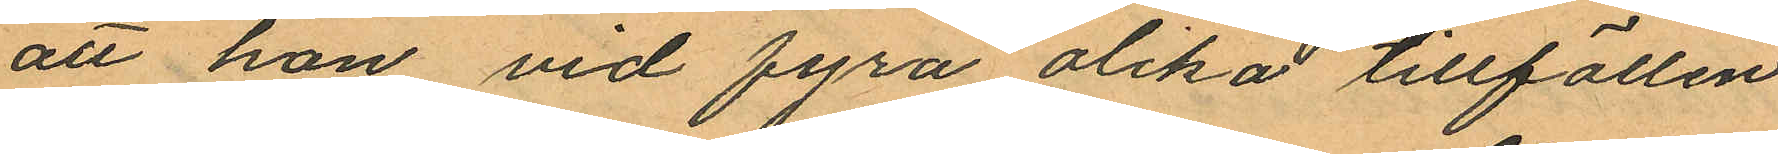att hon vid fyra olika tillfällen
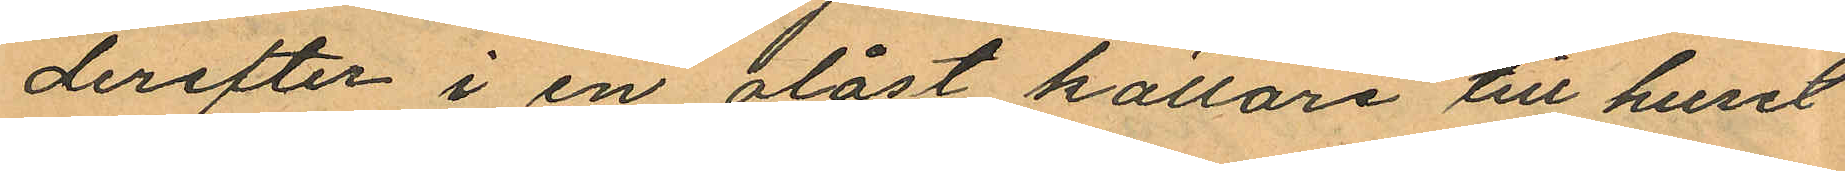derefter i en olåst källare till huset
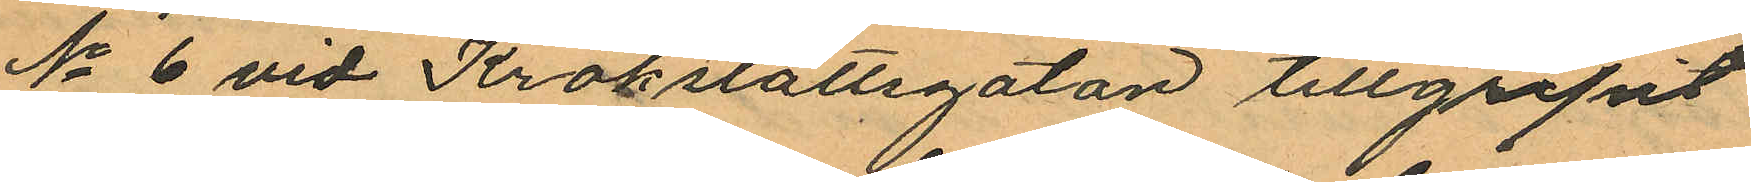No 6 vid Krokslättsgatan tillgripit
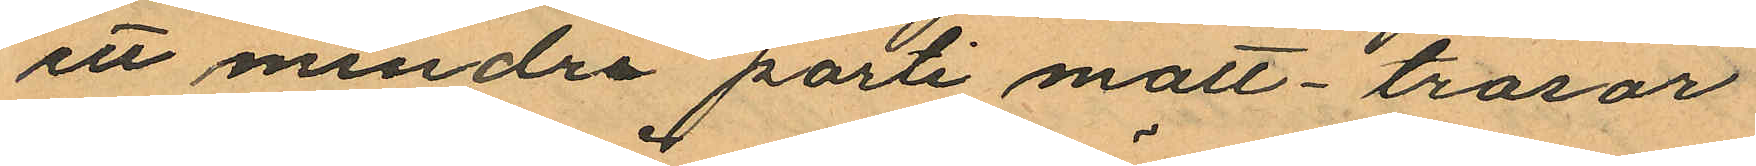ett mindre parti matt-trasor
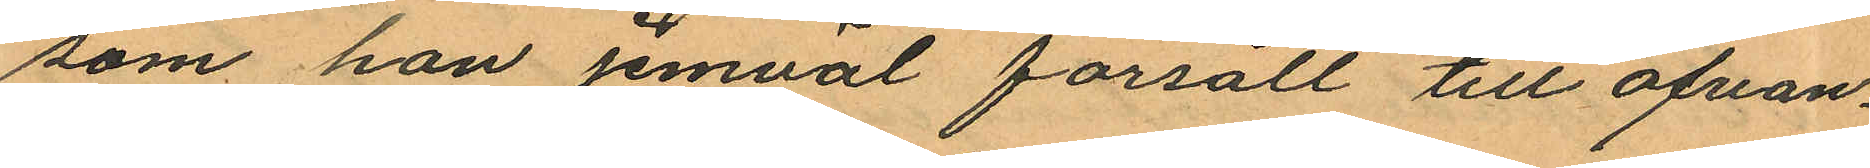som hon jemväl försålt till ofvan¬
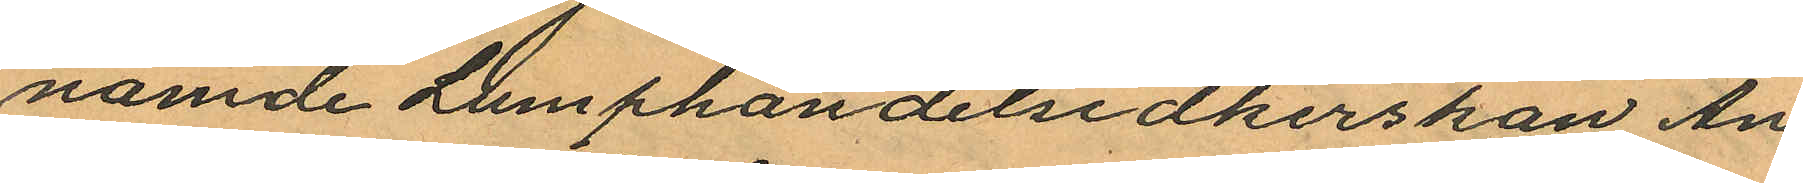namde Lumphandelsidkerskan An¬
